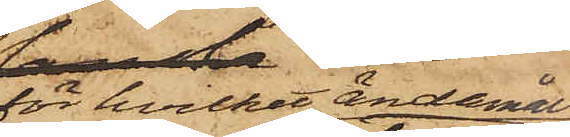för hvilket ändamål
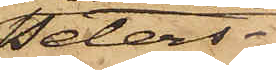Peters¬
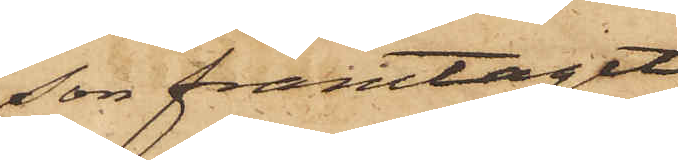son framtagit
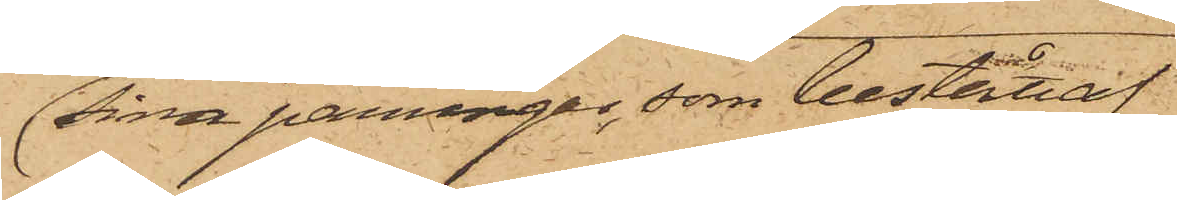sina penningar, som bestått af
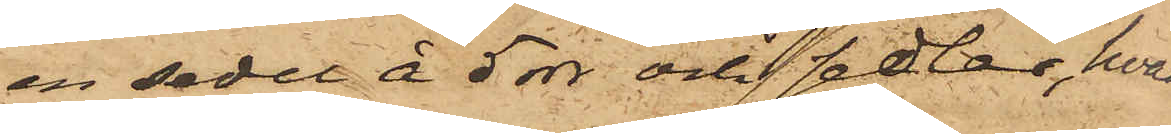en sedel å 5 rdr och 2 sedlar, hvar¬
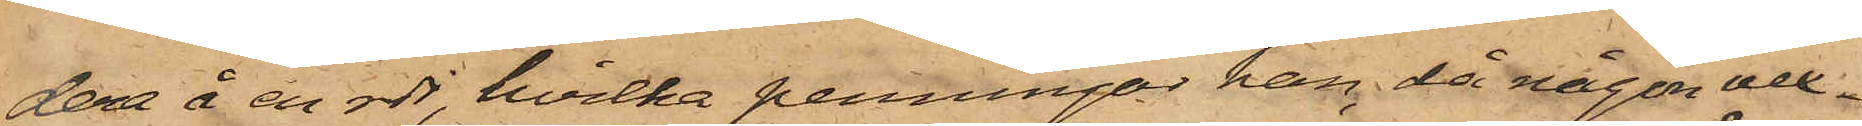dera å en rdr, hvilka penningar han, då någon vex¬
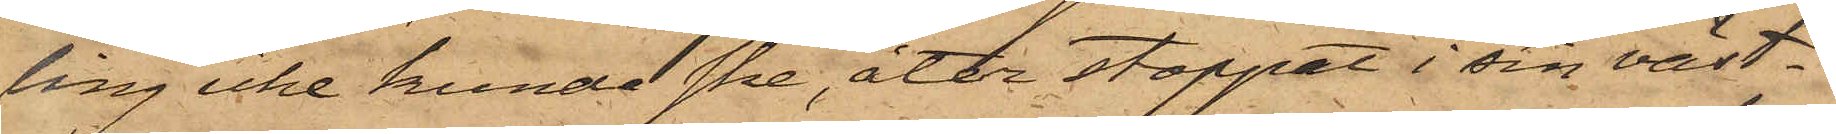ling icke kunde ske, åter stoppat i sin väst¬
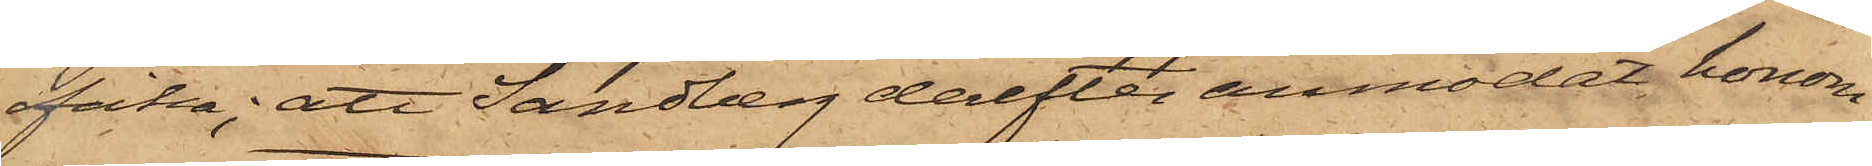ficka; att Sandberg derefter anmodat honom
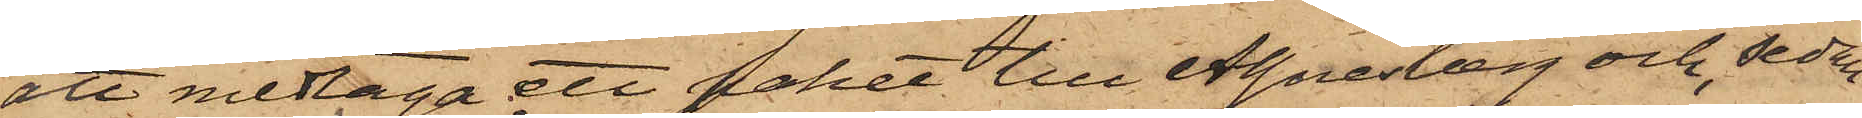att medtaga ett paket till Agnesberg och, sedan
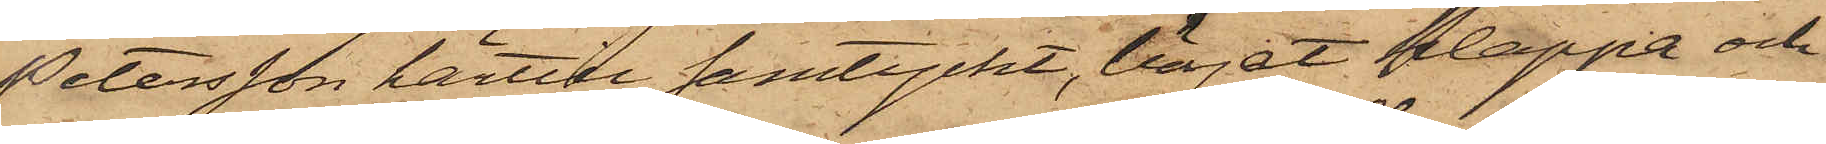Petersson härtill samtyckt, börjat klappa och
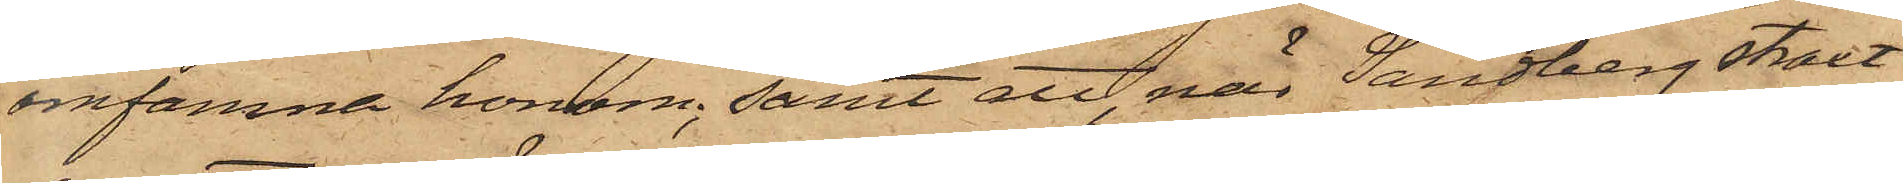omfamna honom; samt att, när Sandberg straxt
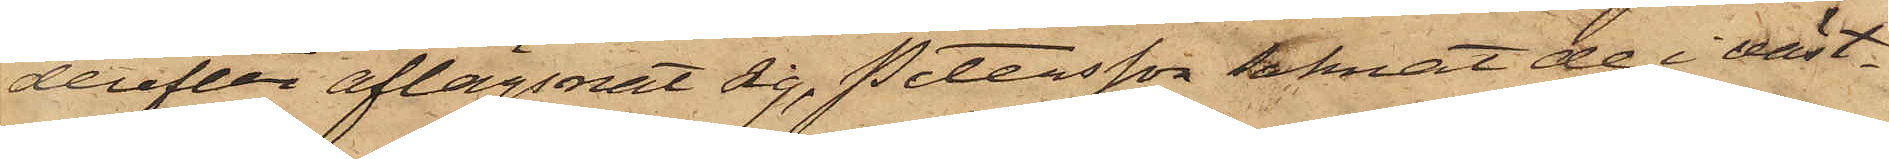derefter aflägsnat sig, Petersson saknat de i väst¬
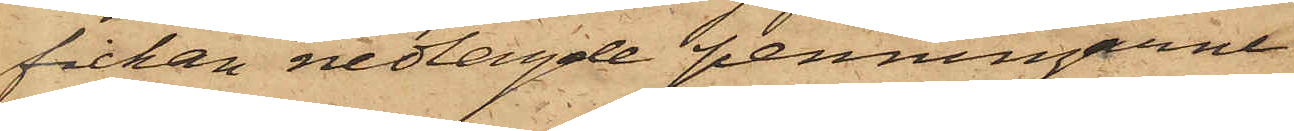fickan nedlagde penningarne
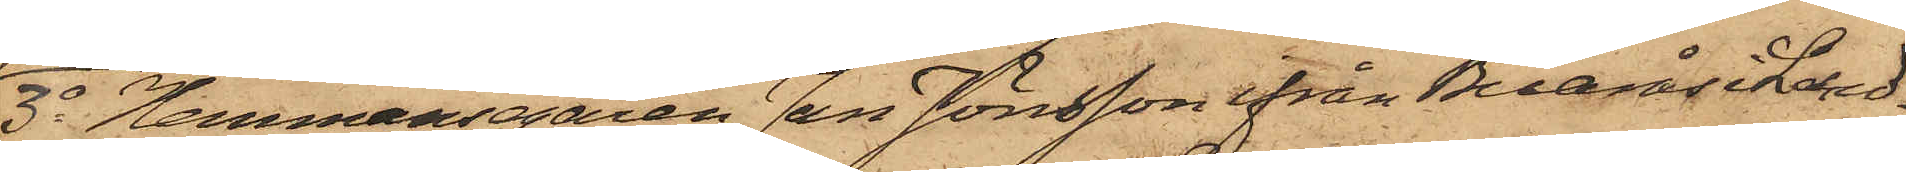3o Hemmansgaren Jan Jönsson ifrån Buarås i Land¬
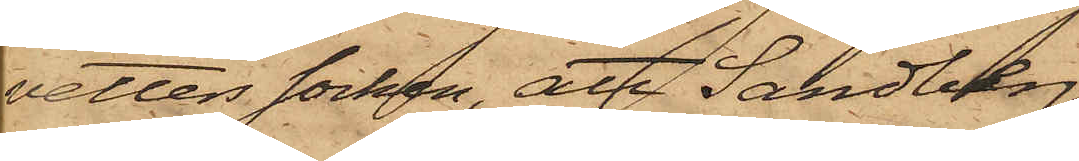vetters socken, att Sandberg
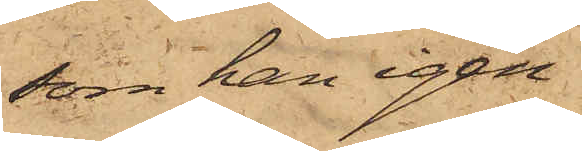som han igen¬
